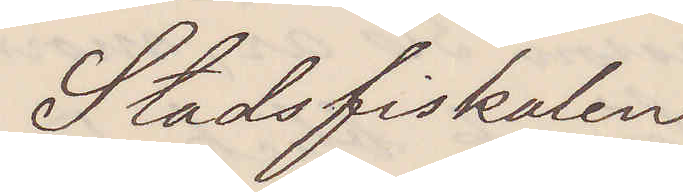Stadsfiskalen
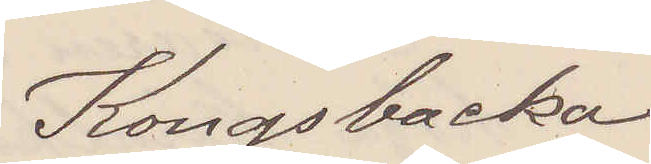Kongsbacka.
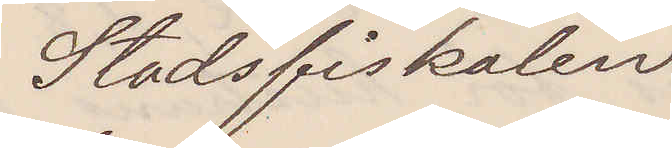Stadsfiskalen.
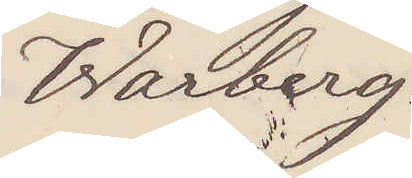Warberg.
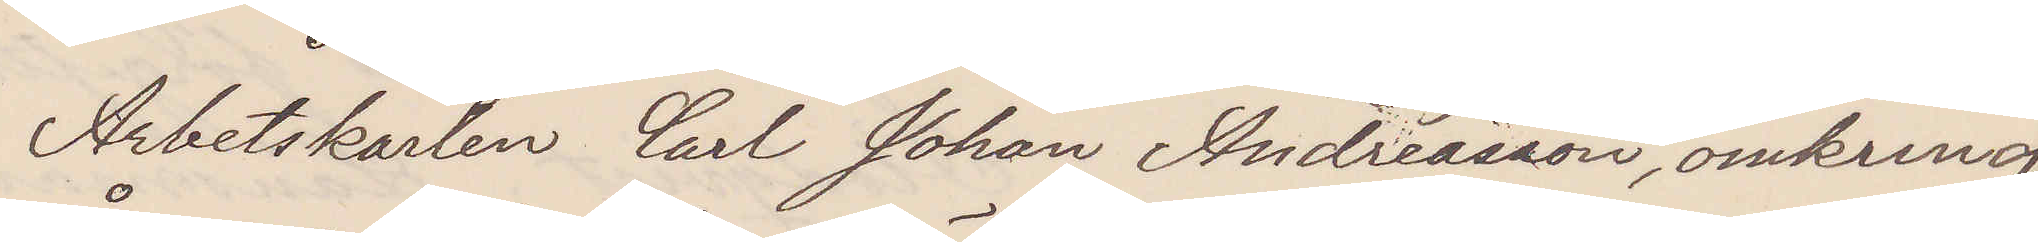Arbetskarlen Carl Johan Andersson, omkring
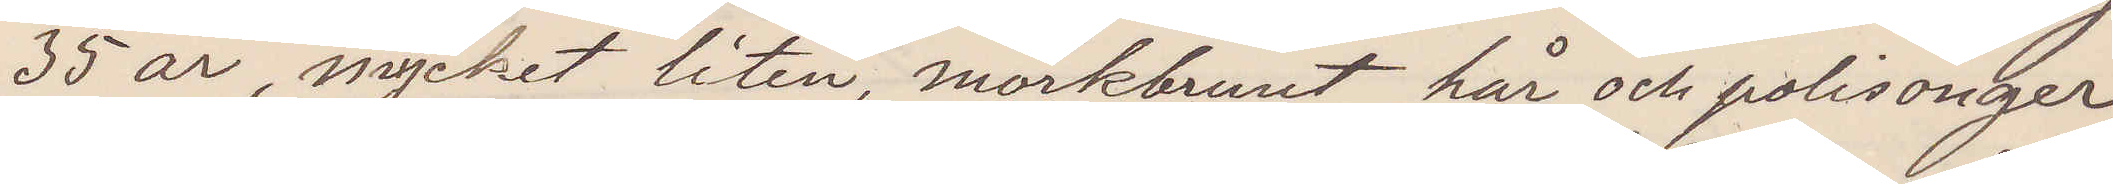35 år, mycket liten, mörkbrunt hår och polisonger
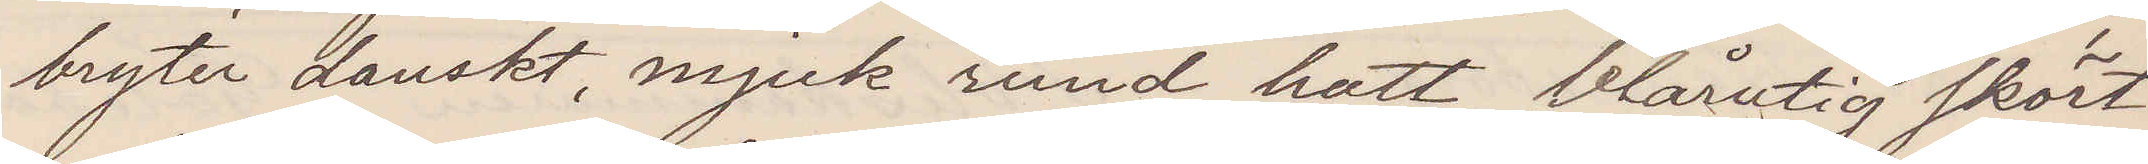bryter danskt, mjuk rund hatt, blårutig skört¬
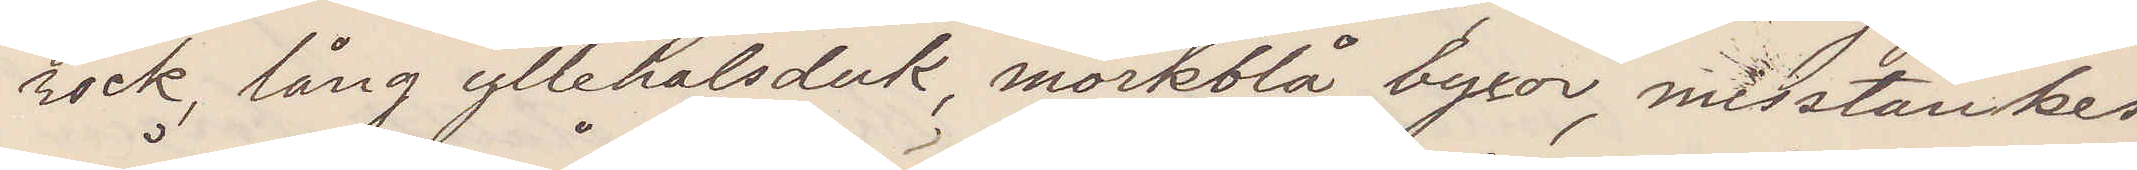rock, lång yllehalsduk, mörkblå byxor, misstänkes
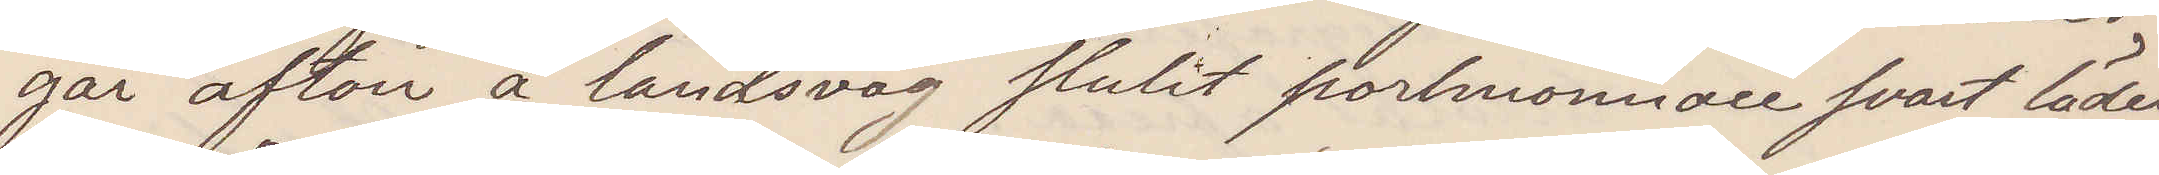går afton å landsväg stulit portmonnoie svart läder
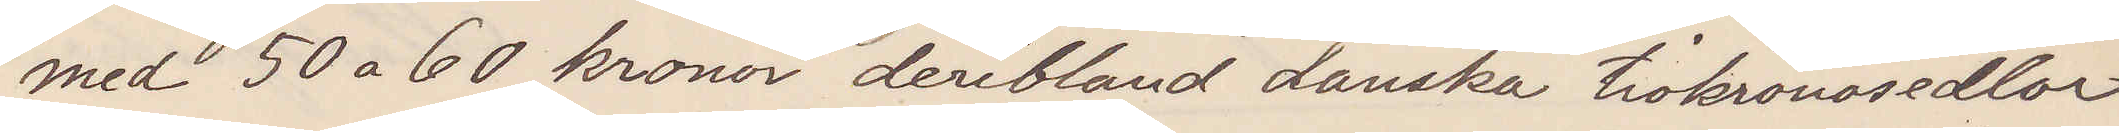med 50 a 60 kronor deribland danska tiokronosedlar
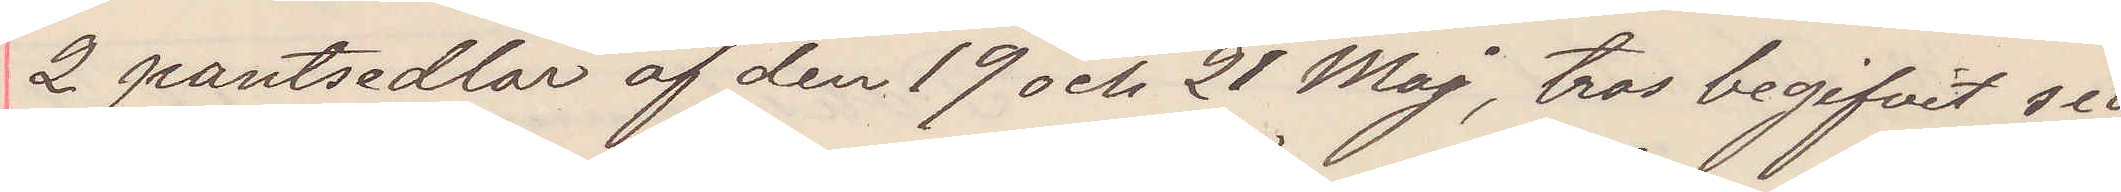2 pantsedlar af den 19 och 21 Maj, tros begifvit sig
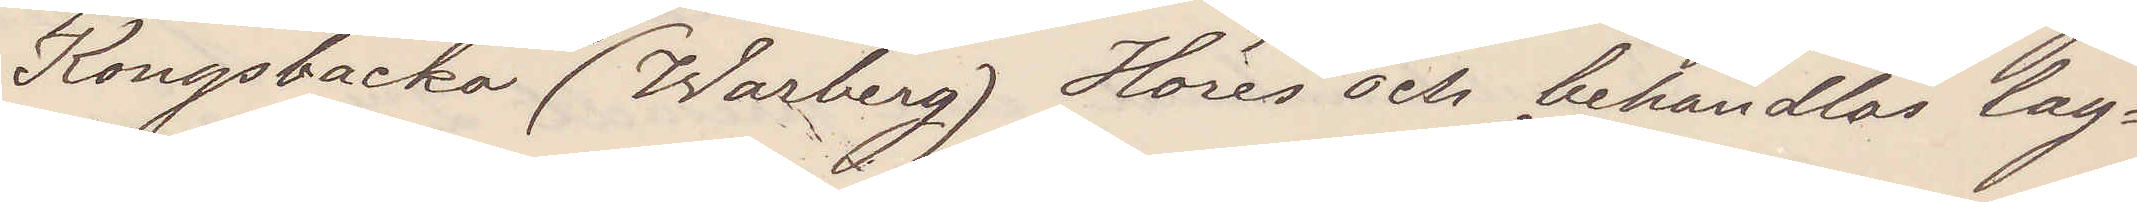Kongsbacka (Warberg) Höres och behandlas lag¬
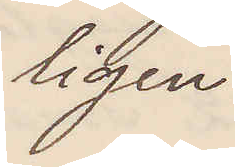ligen
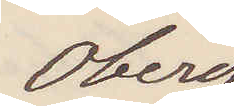Öberg
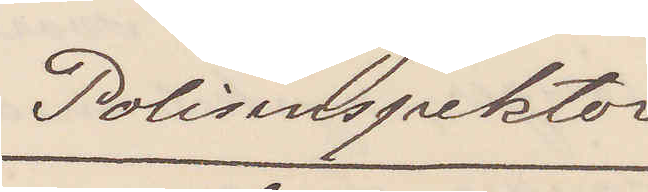Polisinspektor
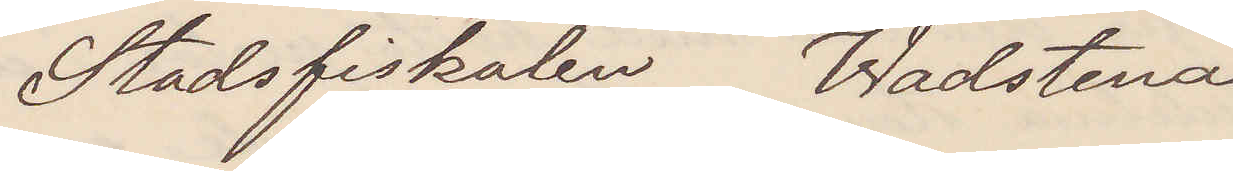Stadsfiskalen Wadstena
